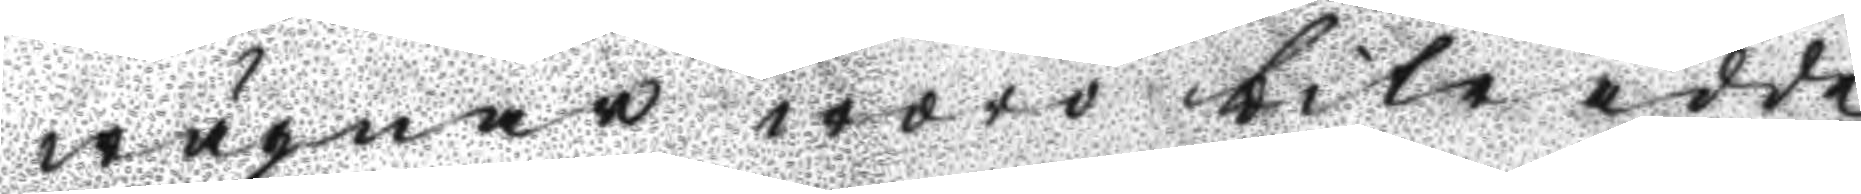wägnar woro biträdde
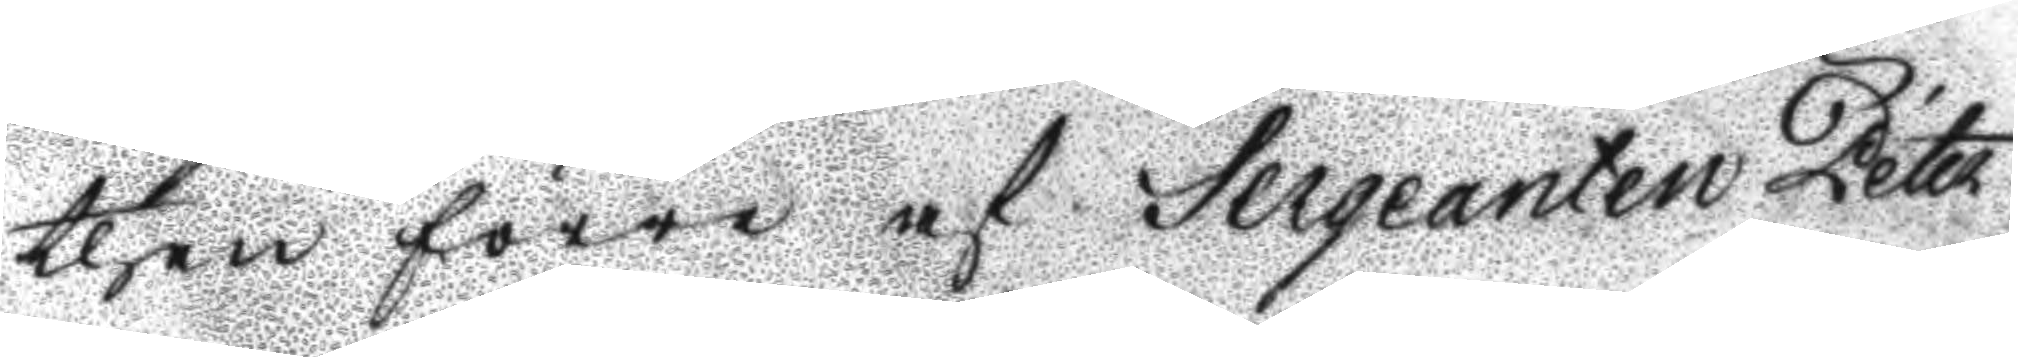then förre af Sergeanten Peter
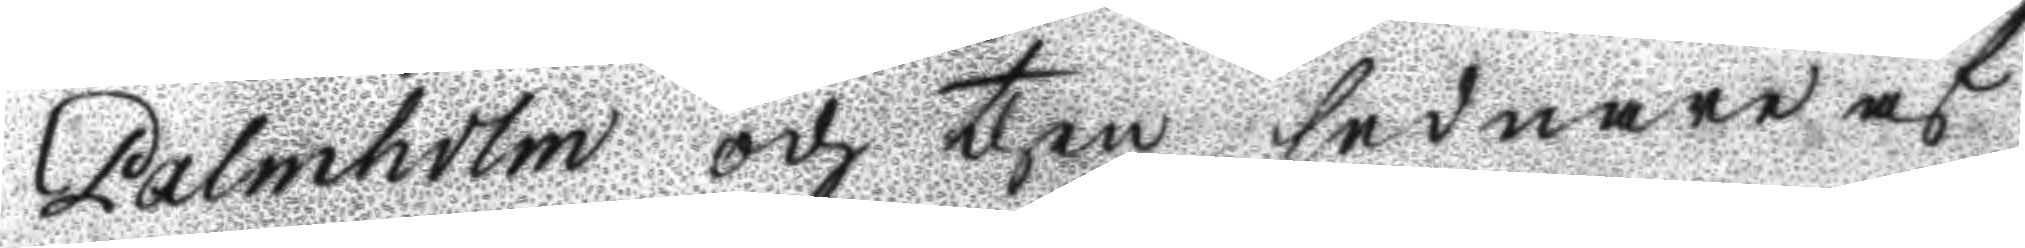Palmholm och then sednare af
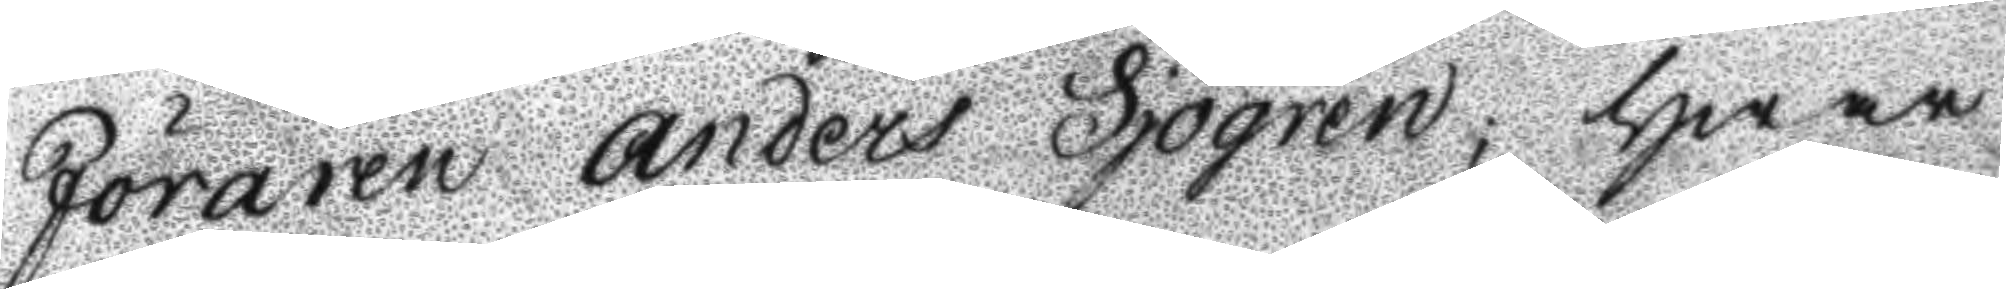Föraren Anders Sjögren; hwar
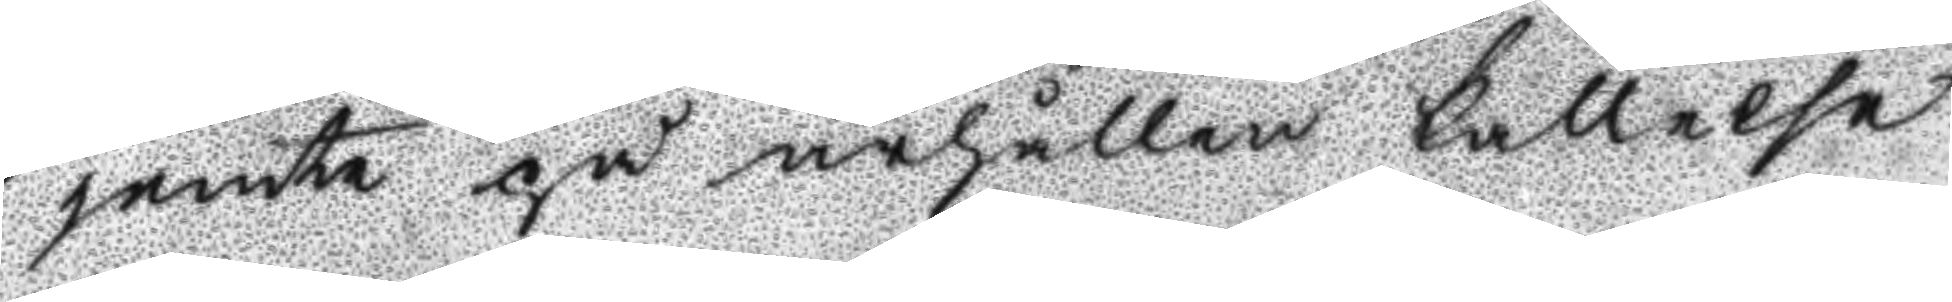jemte på ärhållen kallels
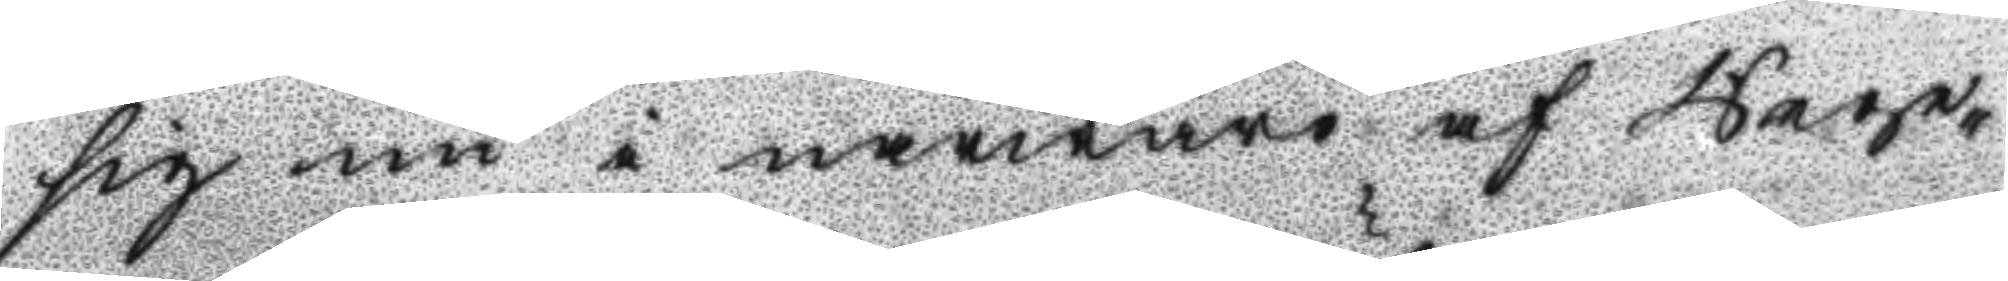sig nu i närwaro af Rege¬
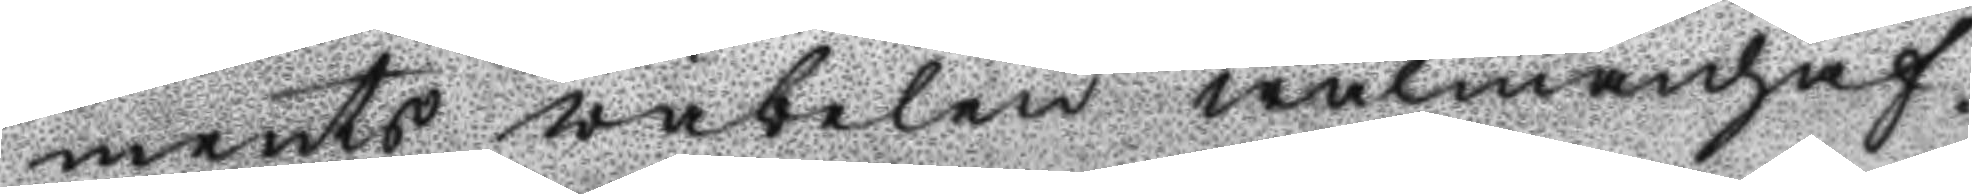ments väbelen wälmanhaf¬
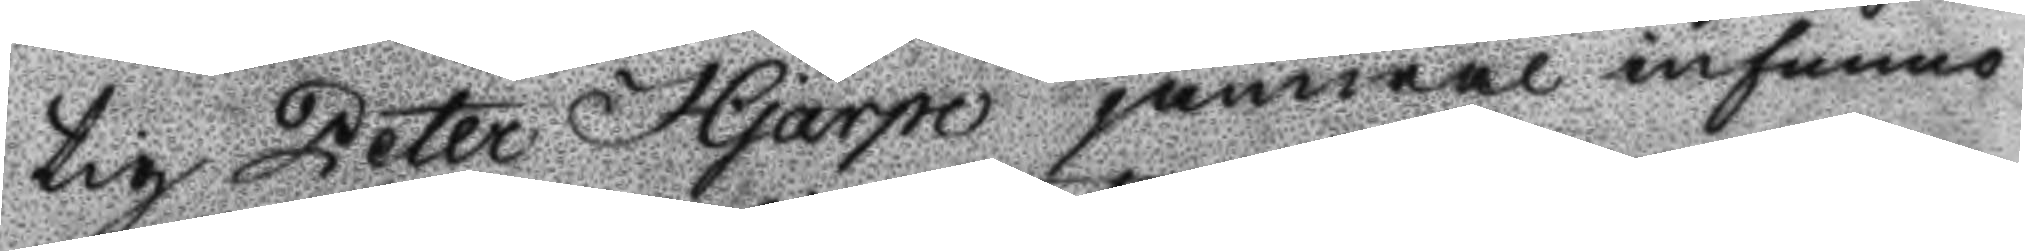tig Peter Hjärpe jämwäl infunno
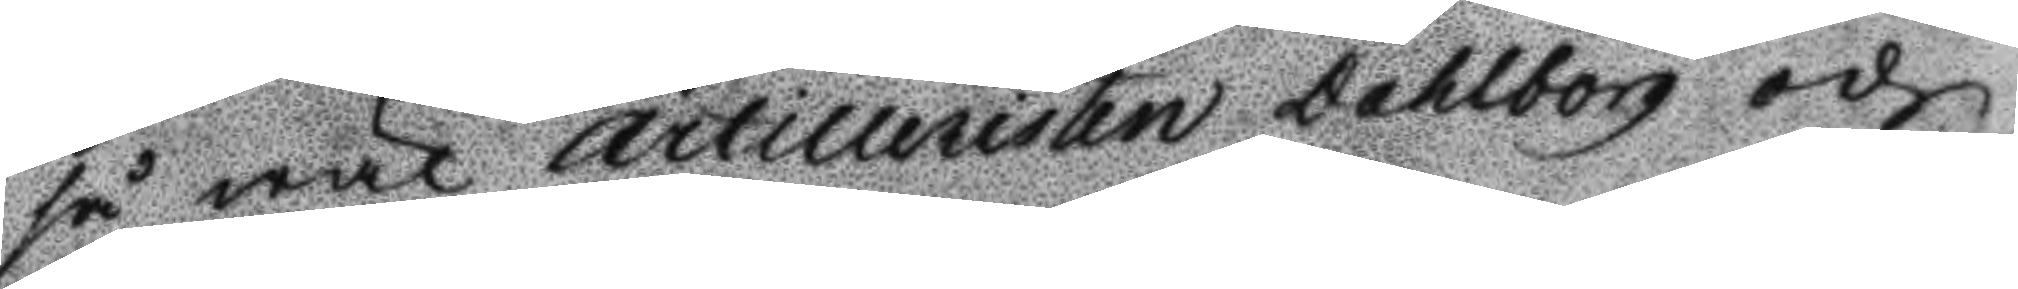så wäl Artilleristen Dahlborg och
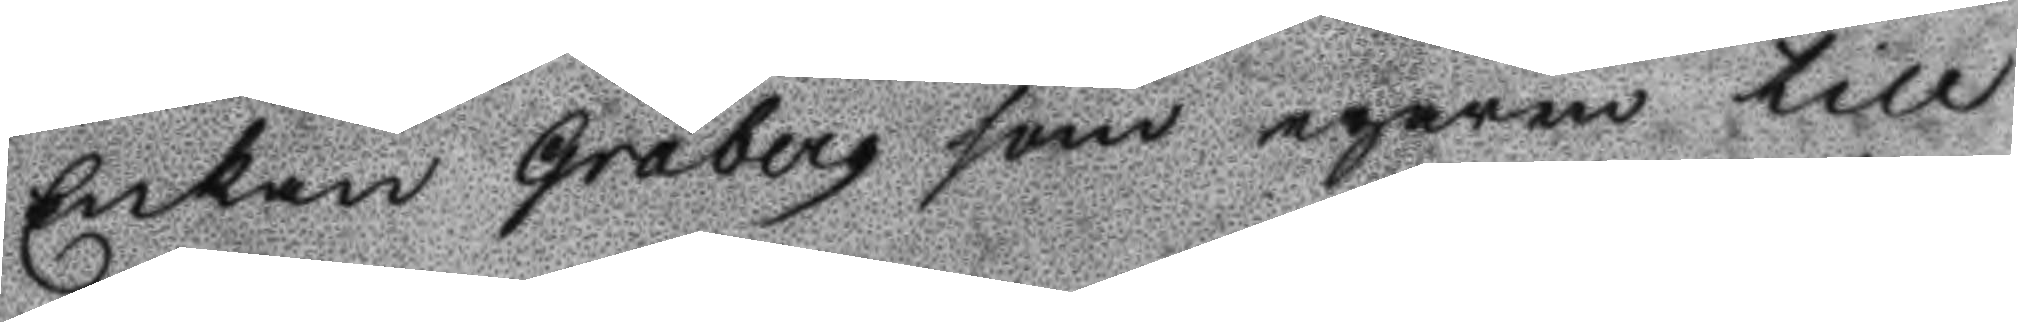Enkan Gråberg som egaren till
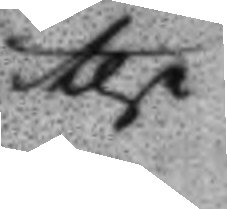the
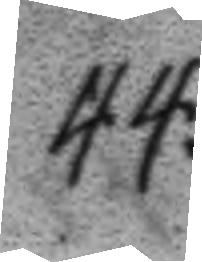44.
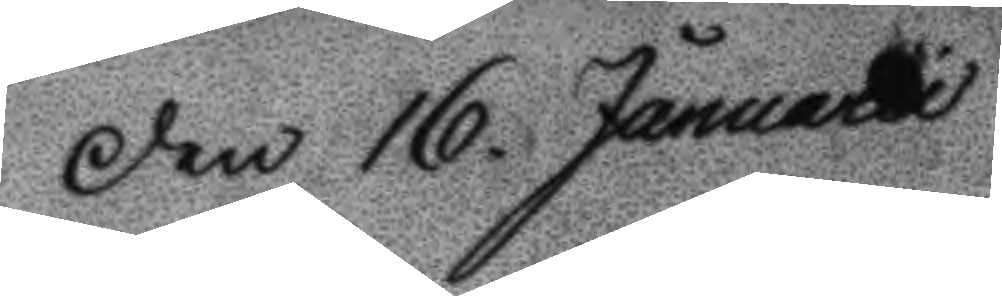Den 16. Januarii
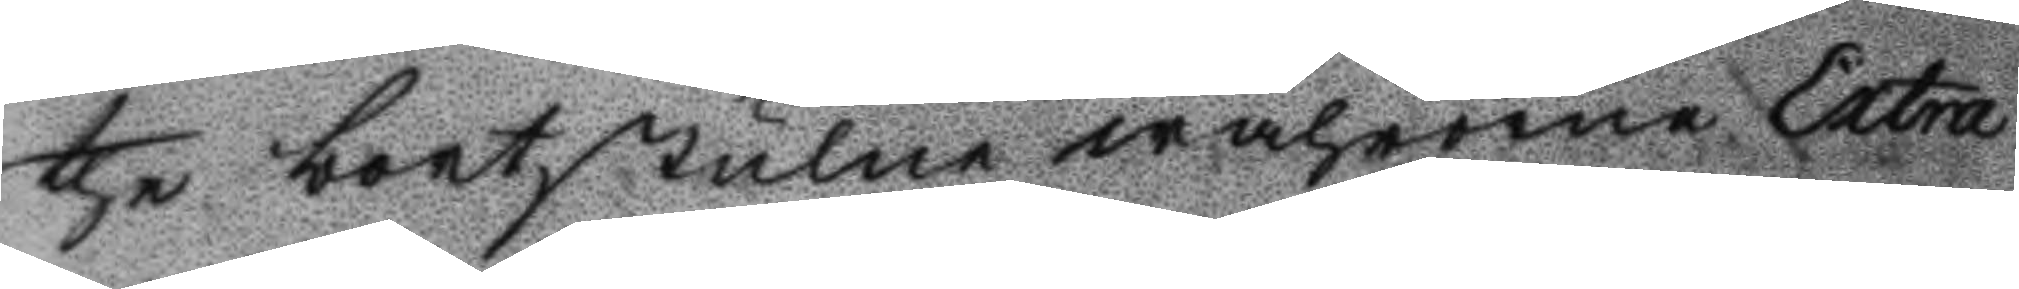the bortstulne wahrorne Extra
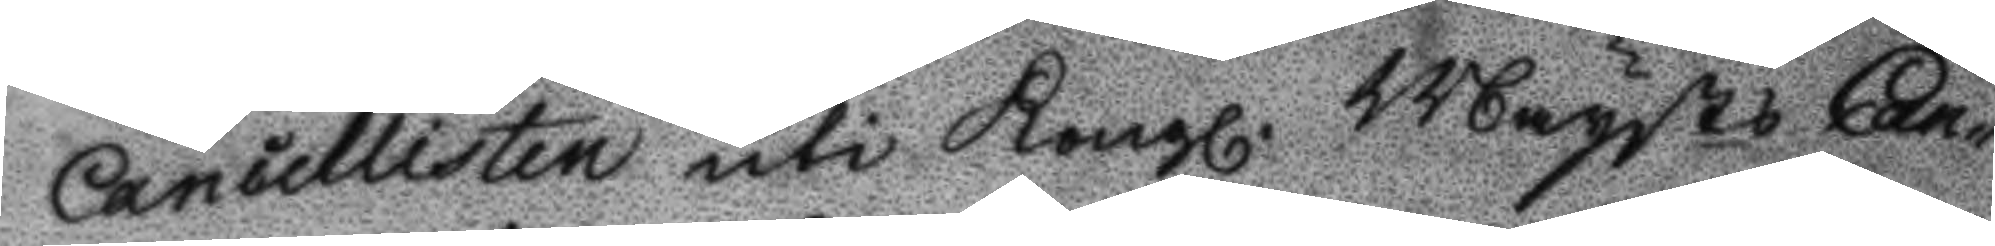Cancillisten uti Kongl. Maysts Can¬
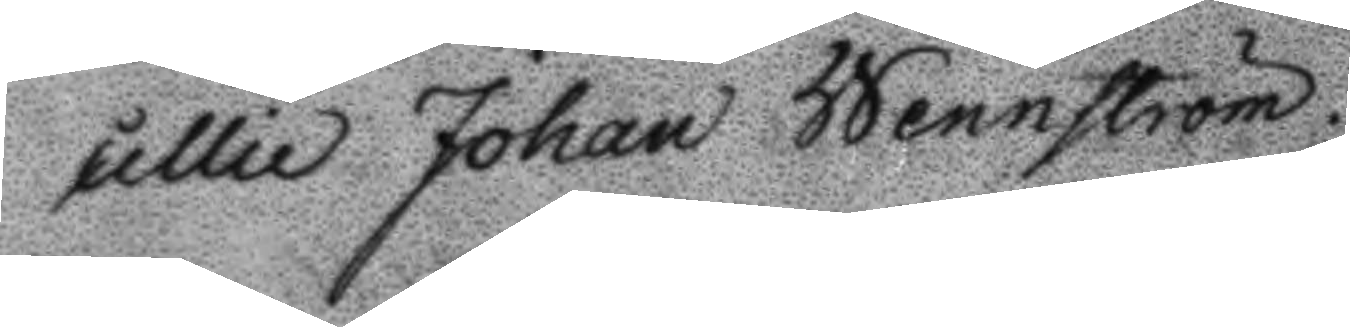cellie Johan Wennström.
